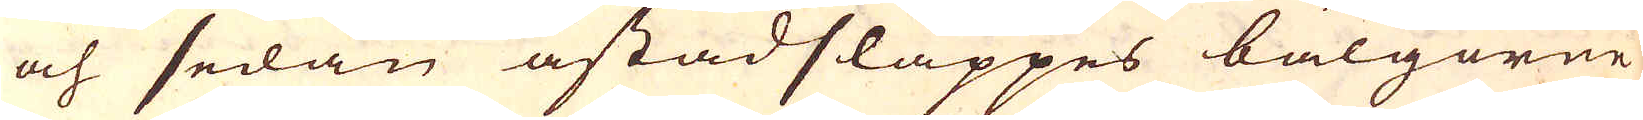och sedan åstädsläppes bälgorne
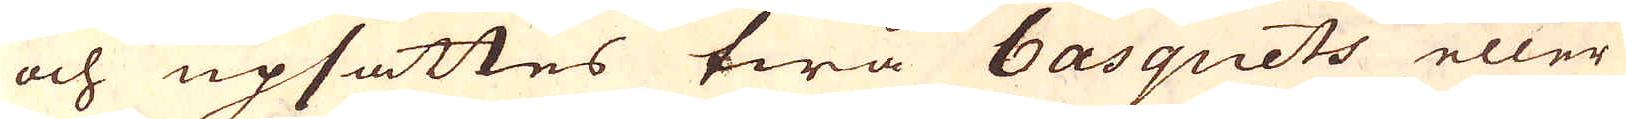och upsättes twå basquets eller
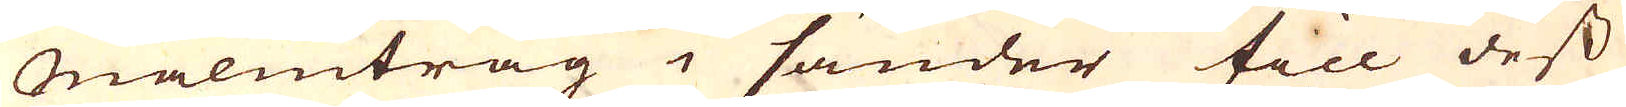Malmtråg i sänder till dess
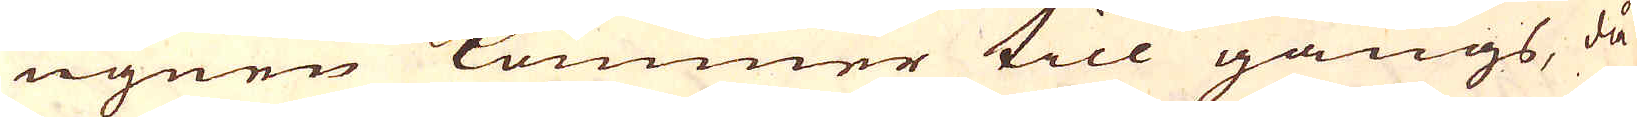ugnen kommer till gångs, då
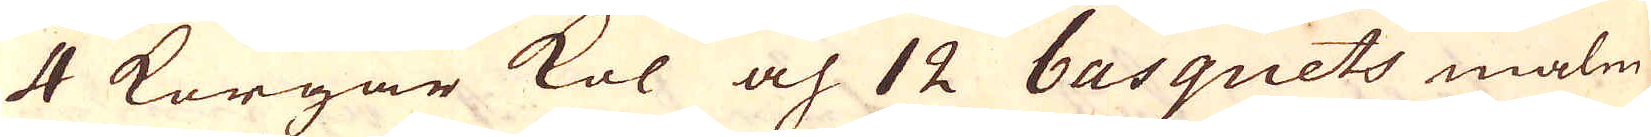4 Korgar kol och 12 basquets malm
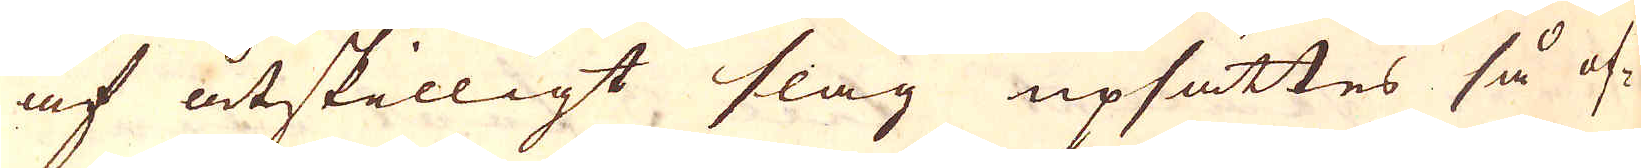af åtskilligt slag upsättes så of-
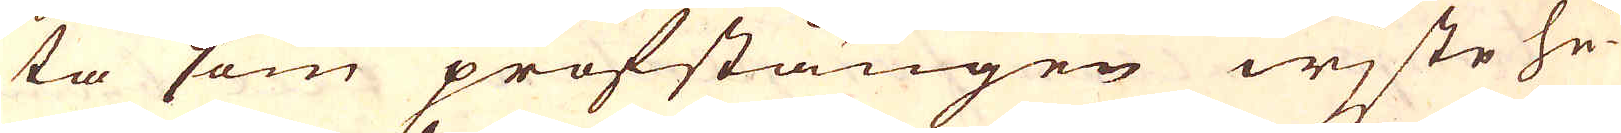ta som profstängen wjste hu-
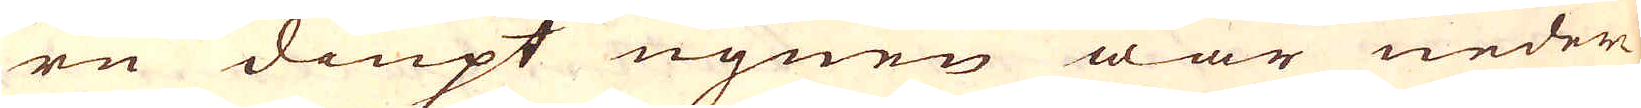ru diupt ugnen war neder
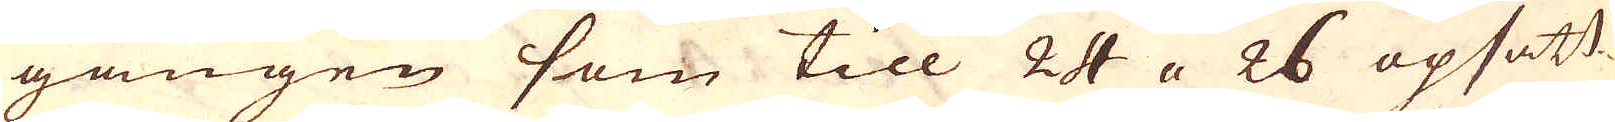gången som till 24 a 26 opsätt-
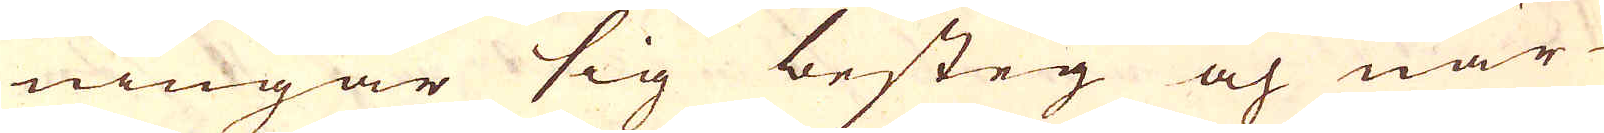ningar sig besteg och när
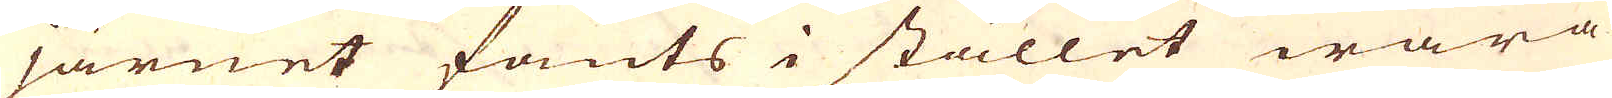järnet fants i stället wara
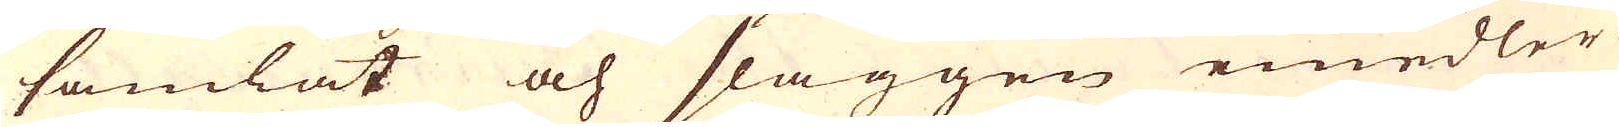samlat och slaggen emedler-
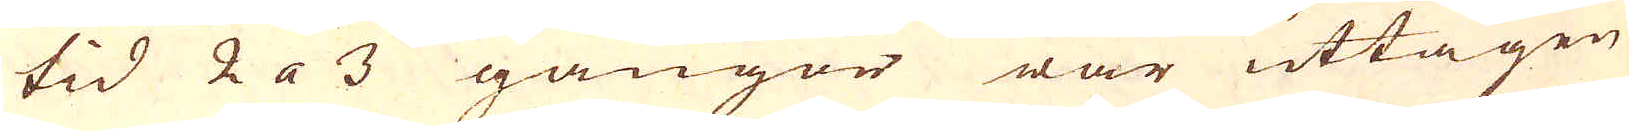tid 2 a 3 gångor war uttagen
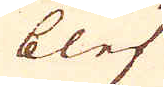blef
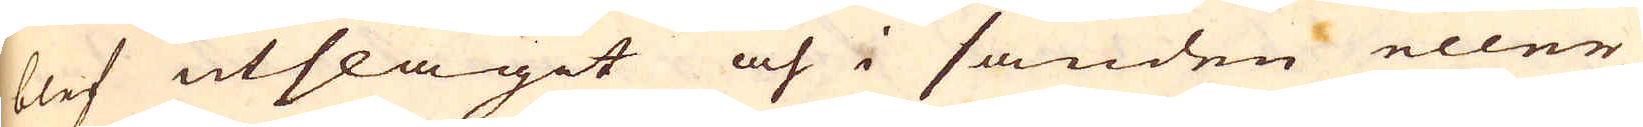blef utslagit och i sanden eller
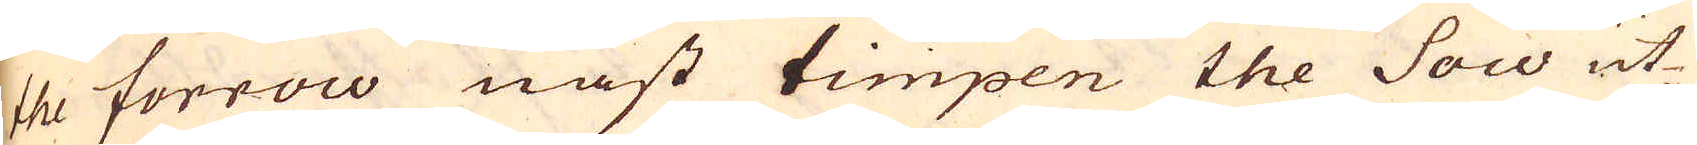the forrow näst timpen the Sow ut-
